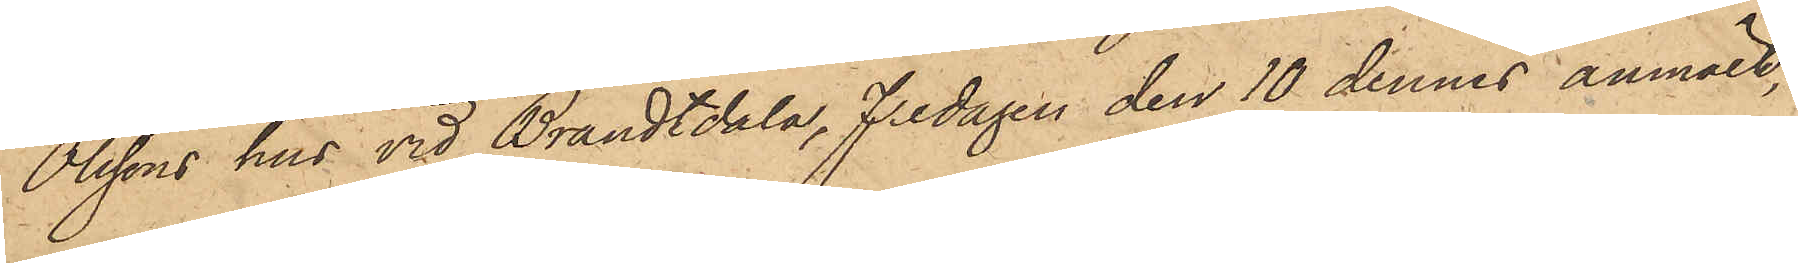Olssons hus vid Brandtdala, Fredagen den 10 dennes anmält,
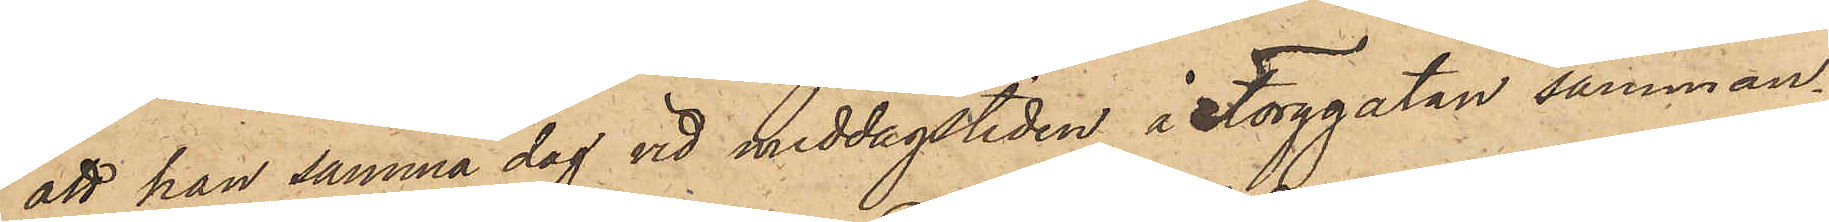att han samma dag vid middagstiden å Torggatan samman¬
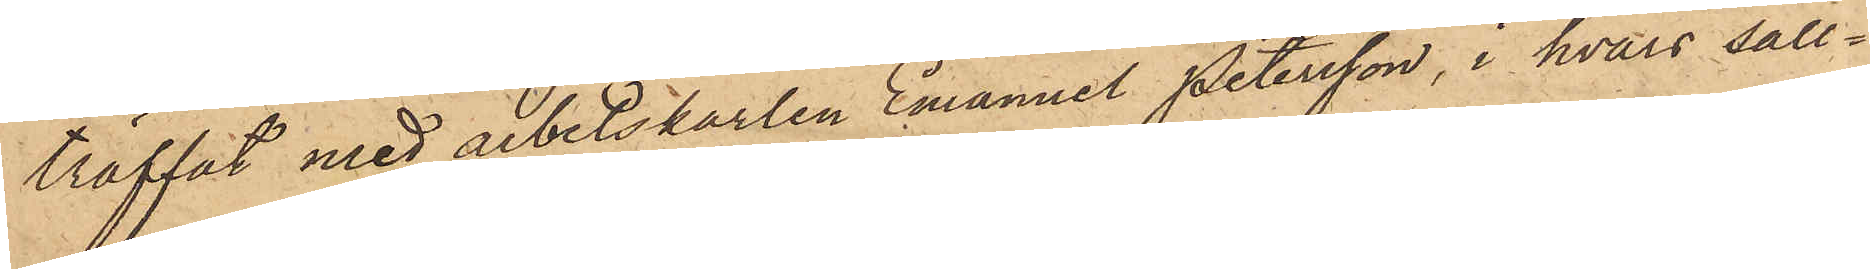träffat med arbetskarlen Emanuel Petersson, i hvars säll¬
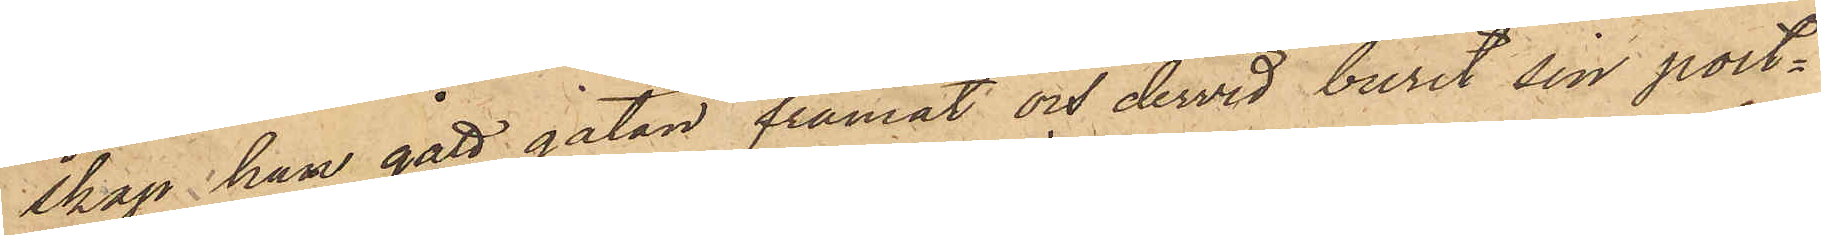skap han gått gatan framåt och dervid burit sin port¬
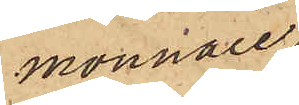monnaie,
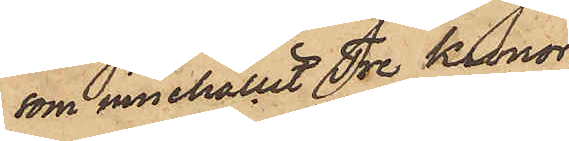som innehållit Tre Kronor,
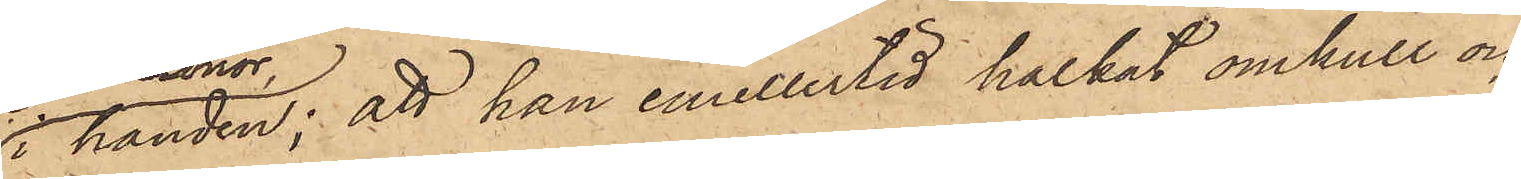i handen; att han emellertid halkat omkull och
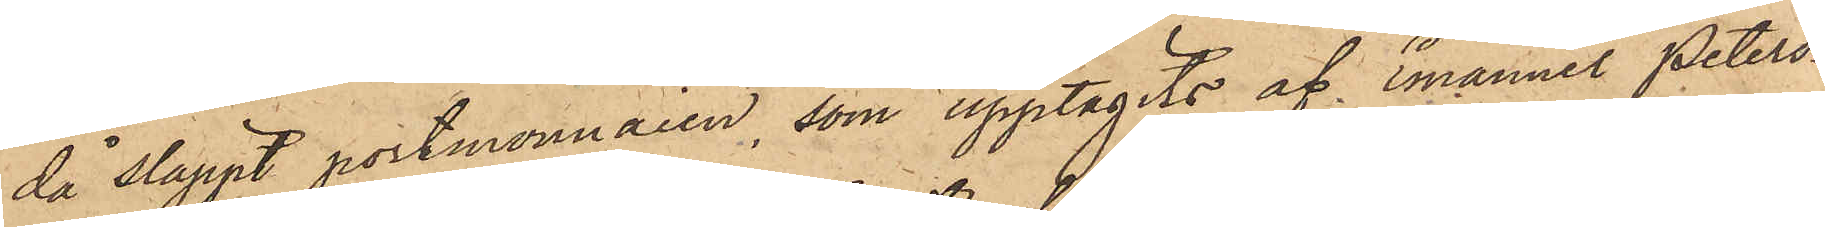då släppt portmonnaien, som upptagits af Emanuel Peters¬
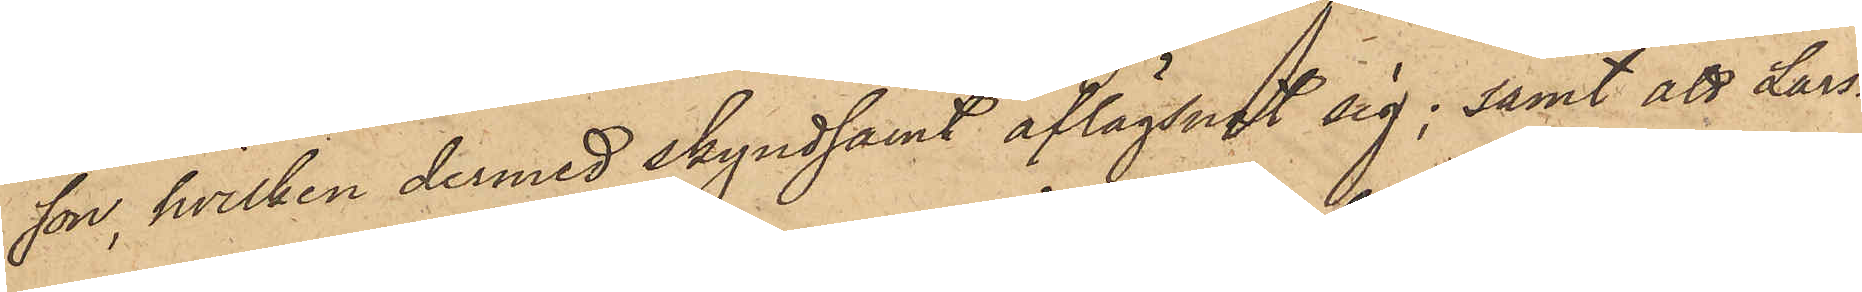son, hvilken dermed skyndsamt aflägsnat sig; samt att Lars¬
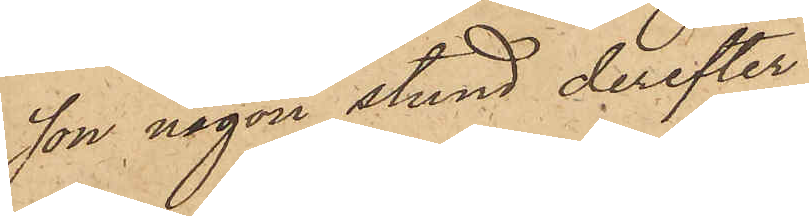son någon stund derefter
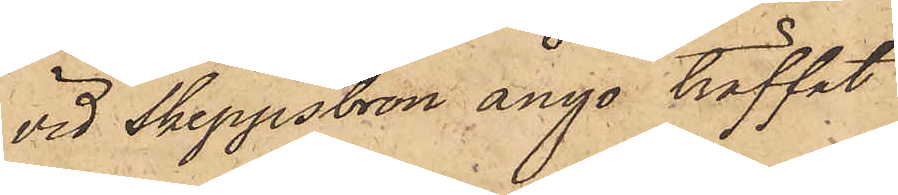vid Skeppsbron ånyo träffat
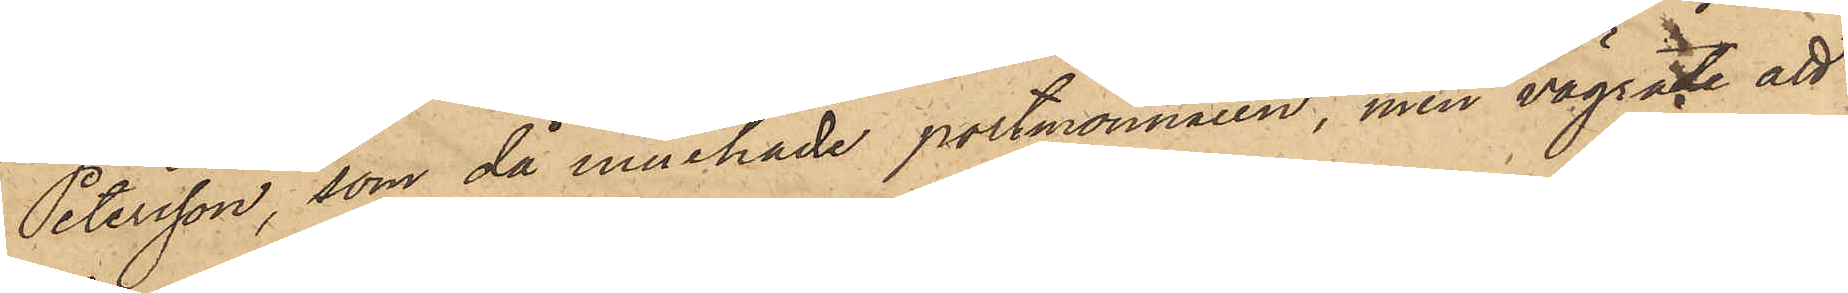Petersson, som då innehade portmonnaien, men vägrade att
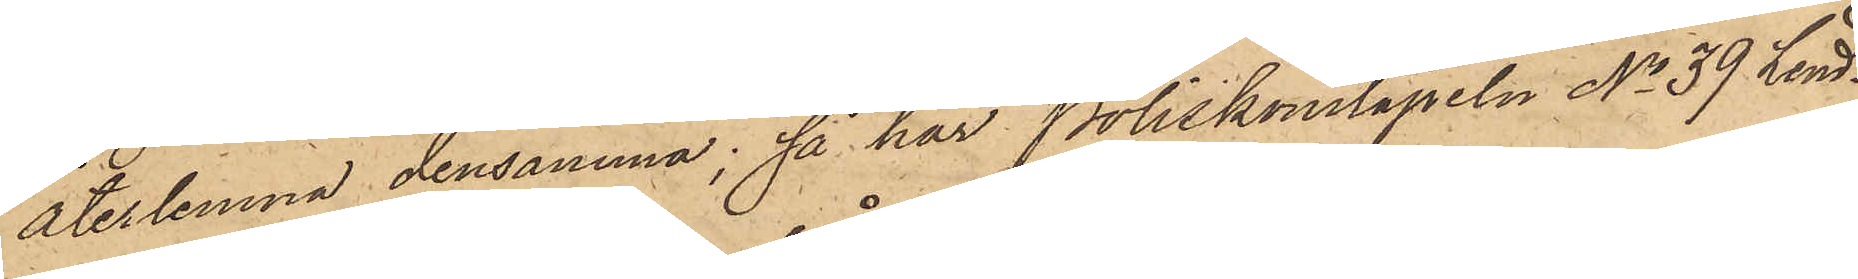återlemna densamma; så har Poliskonstapeln No 39 Lind¬
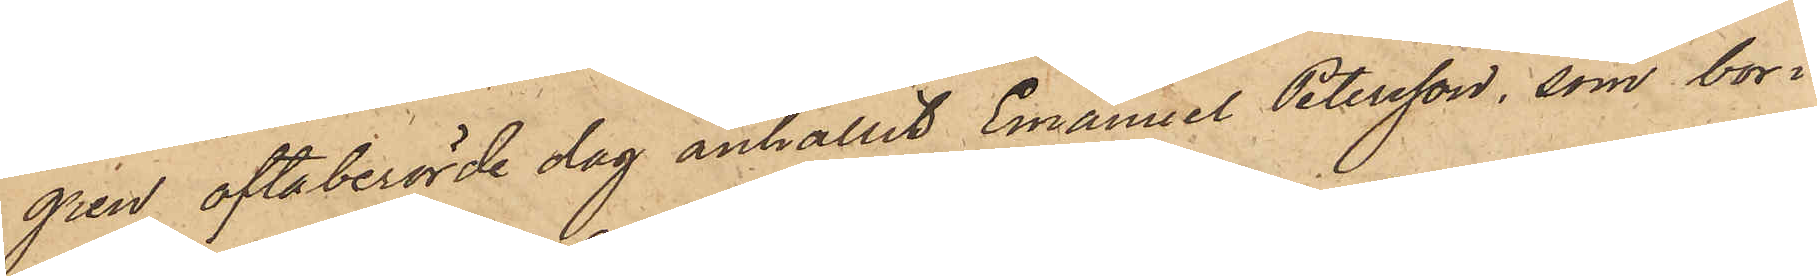gren oftaberörde dag anhållit Emanuel Petersson, som bor i
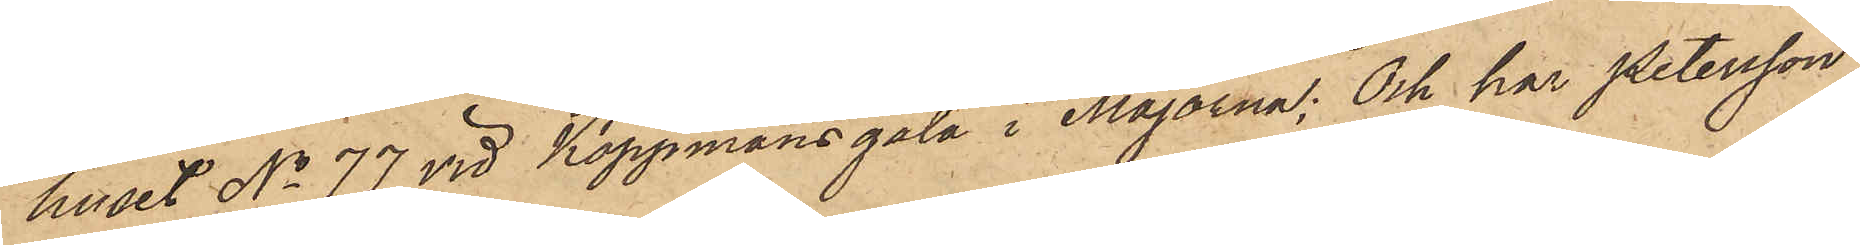huset No 77 vid Koppmansgata i Majorna; Och har Petersson
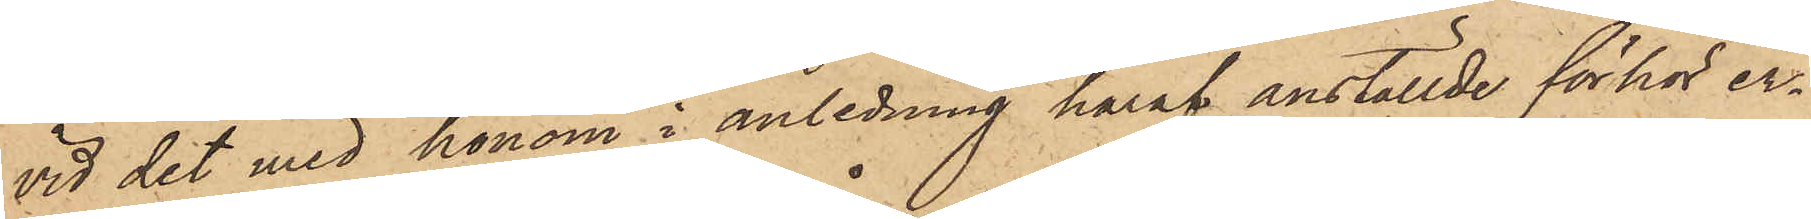vid det med honom i anledning häraf anställde förhör er¬
